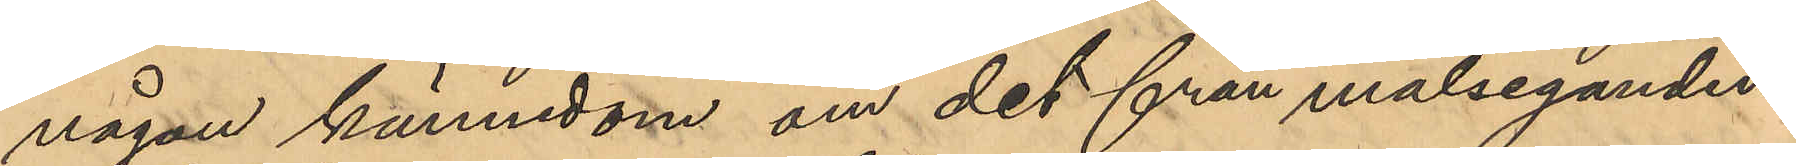någon kännedom om det från målseganden
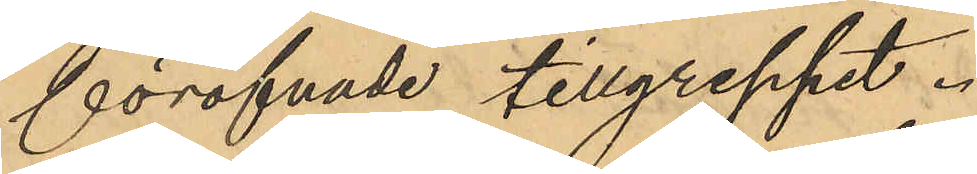föröfvade tillgreppet.
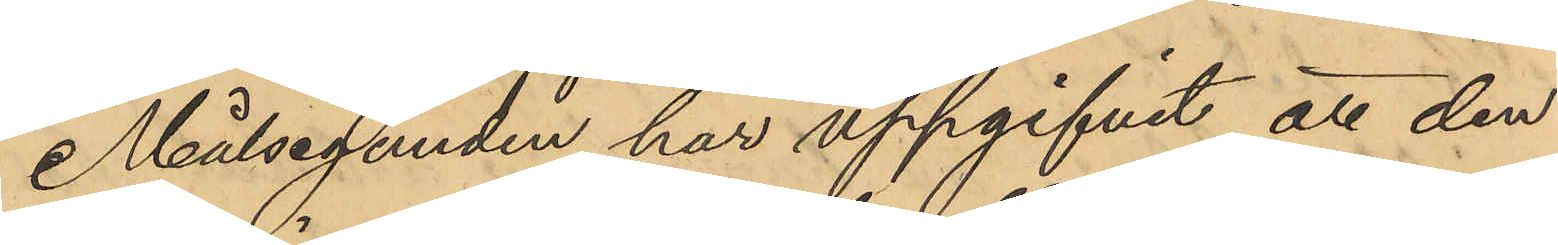Målseganden har uppgifvit att den
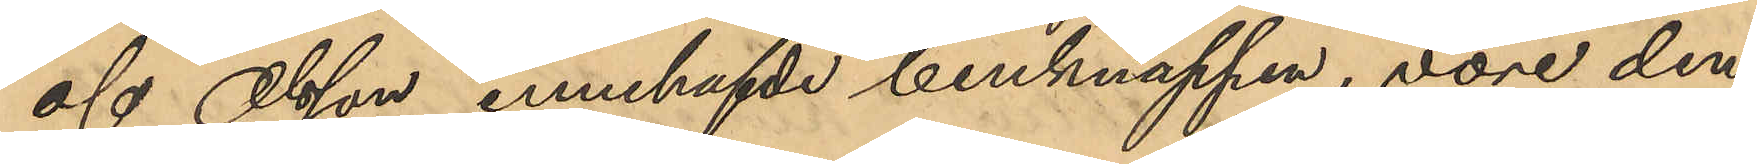af Olsson innehafvde benknappen, vore den
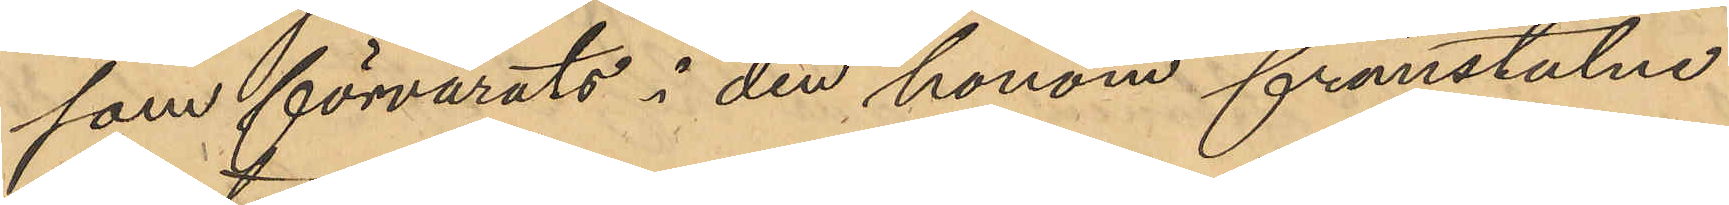som förvarats i den honom frånstulne
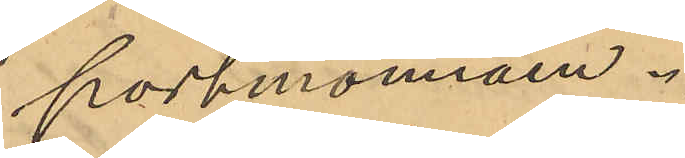portmonnäen.
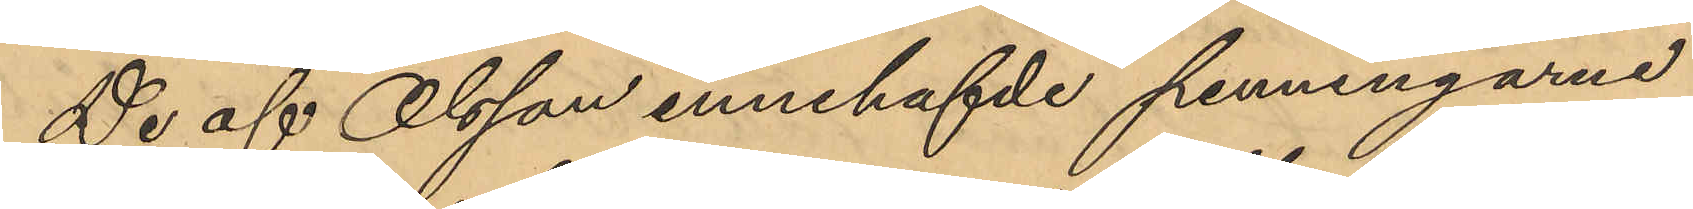De af Olsson innehafvde penningarne
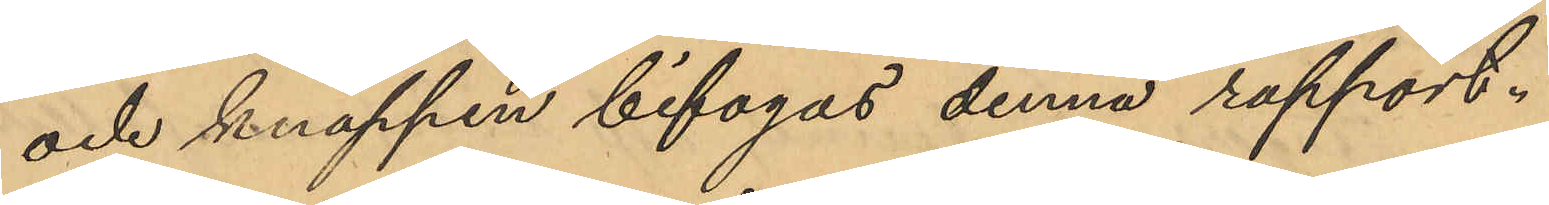och knappen bifogas denna rapport.
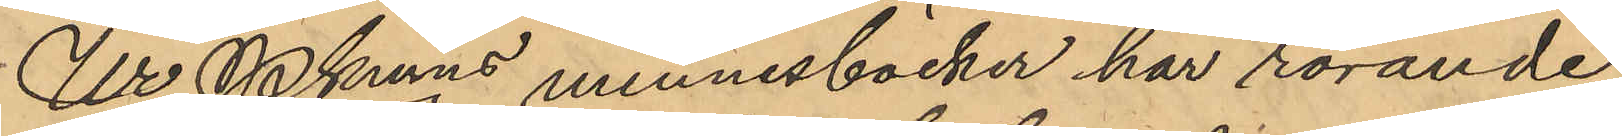Ur Pkmns minnesböcker har rörande
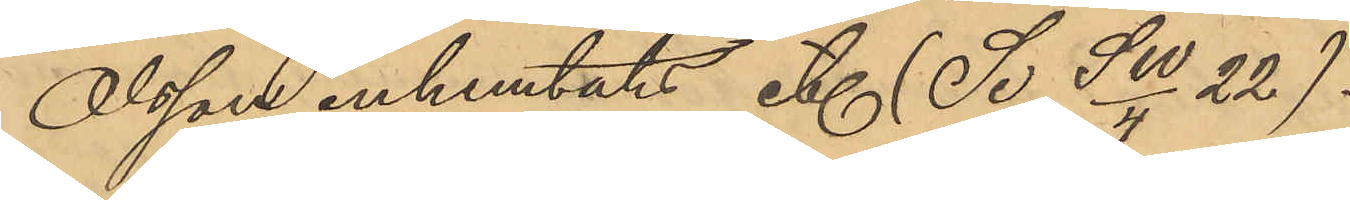Olsson inhemtats etc (Se. SW/4 22).
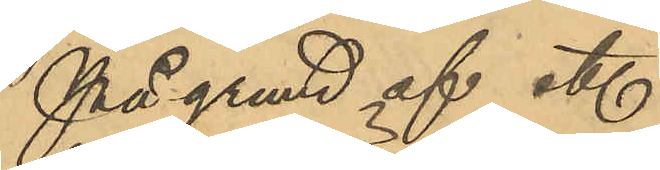På grund af etc.
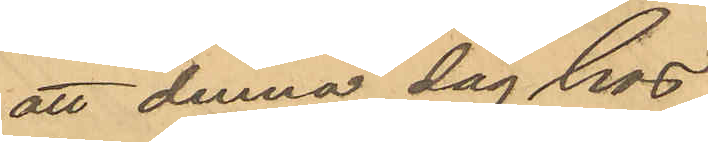att denna dag hos
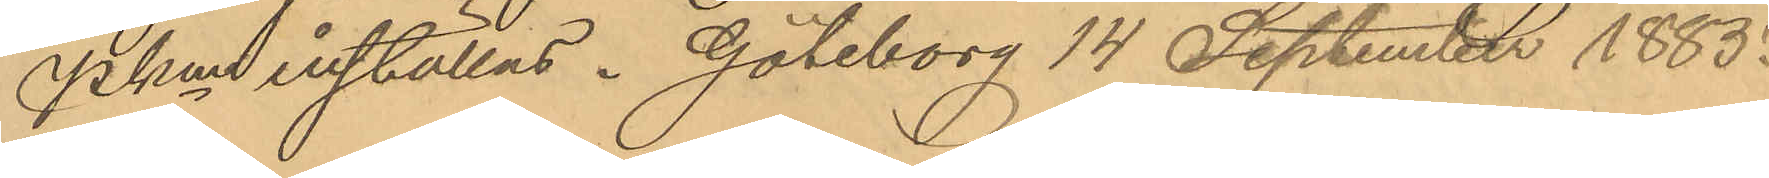PKen inställas. Göteborg 14 September 1885.
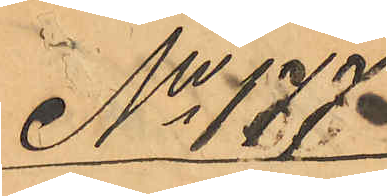No 177
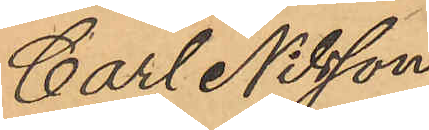Carl Nilsson
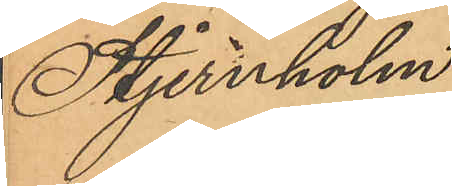Stjernholm
